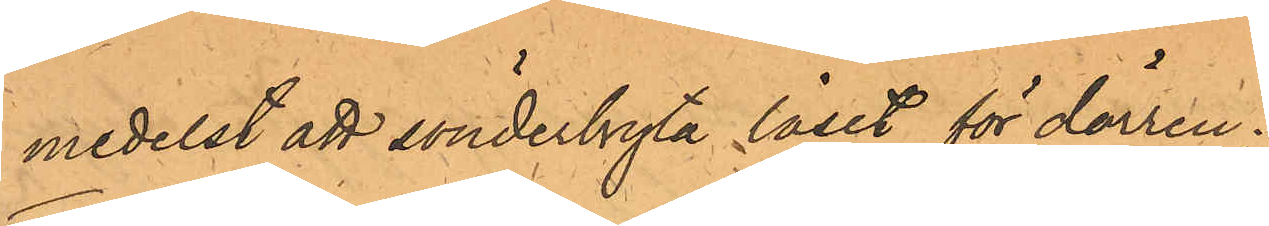medelst att sönderbryta låset för dörren.
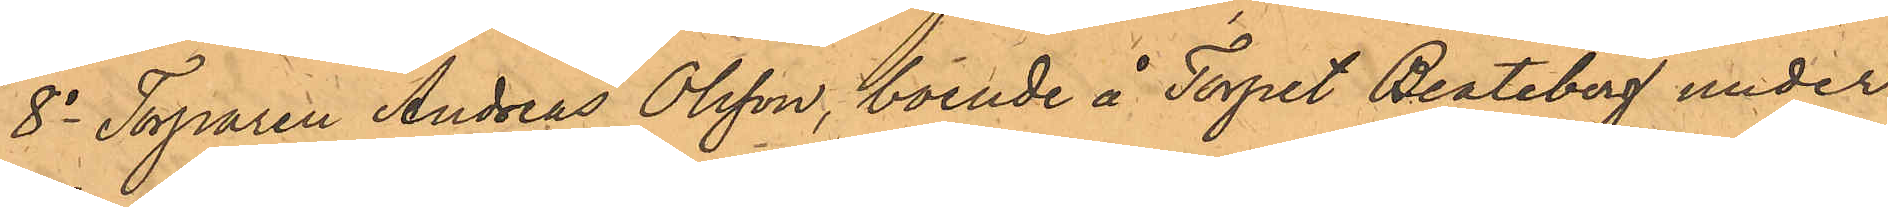8o Torparen Andreas Olsson, boende å Torpet Beateberg under
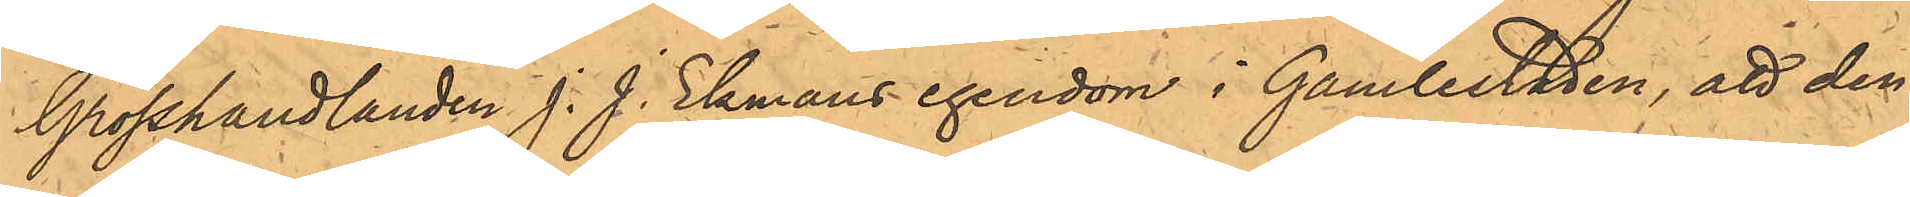Grosshandlanden J. J. Ekmans egendom i Gamlestaden, att den
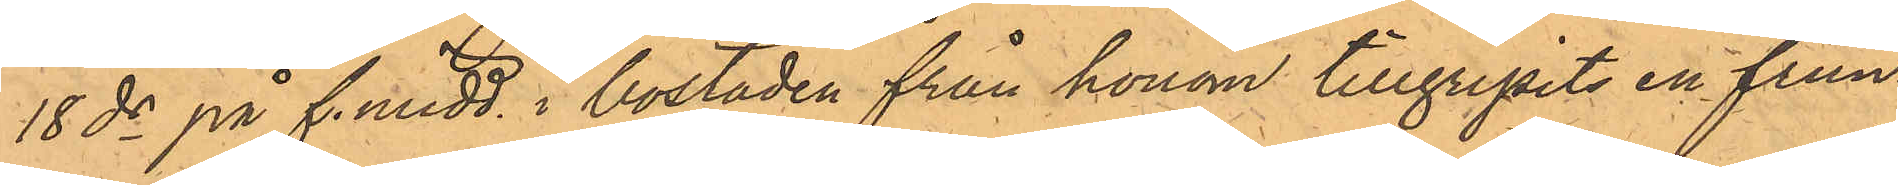18 ds på f. midd. i bostaden från honom tillgripits en frun¬
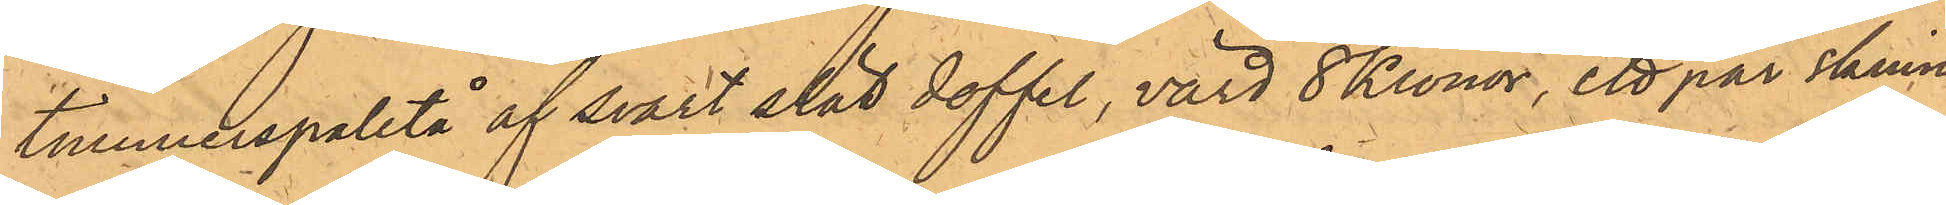timmerspaletå af svart slät doffel, värd 8 Kronor, ett par skinn¬
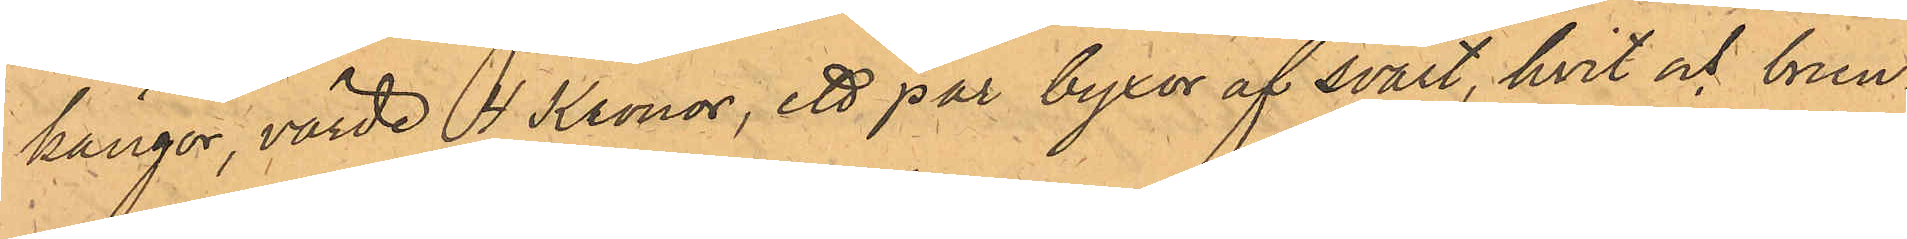kängor, värde 4 Kronor, ett par byxor af svart, hvit och brun¬
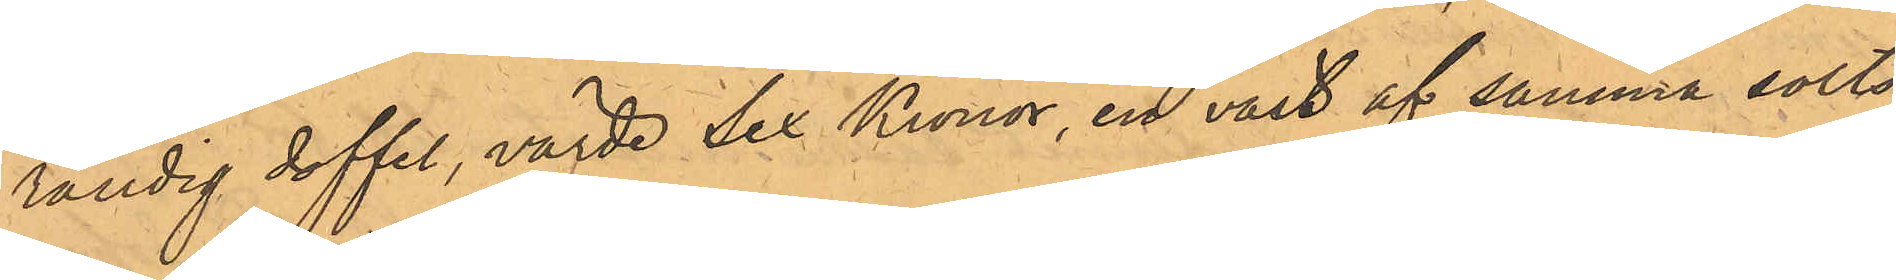randig doffel, värde Sex Kronor, en väst af samma sorts
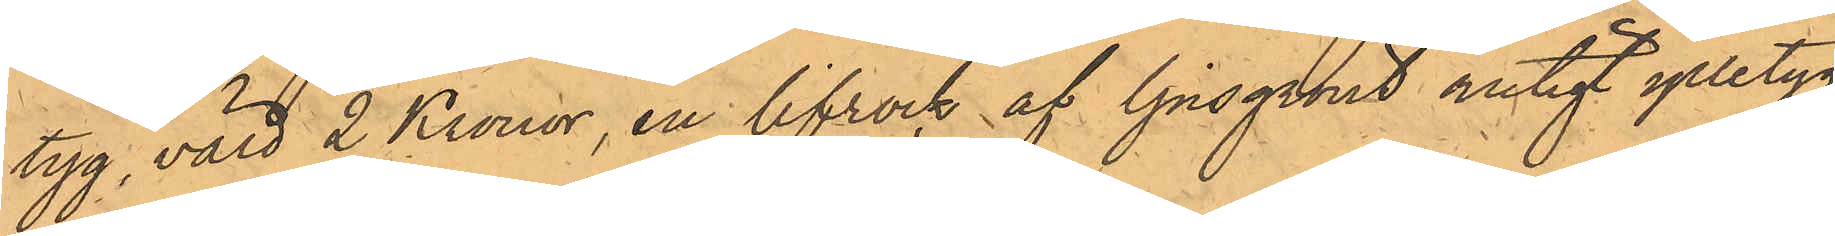tyg, värd 2 Kronor, en lifrock af ljusgrönt rutigt ylletyg
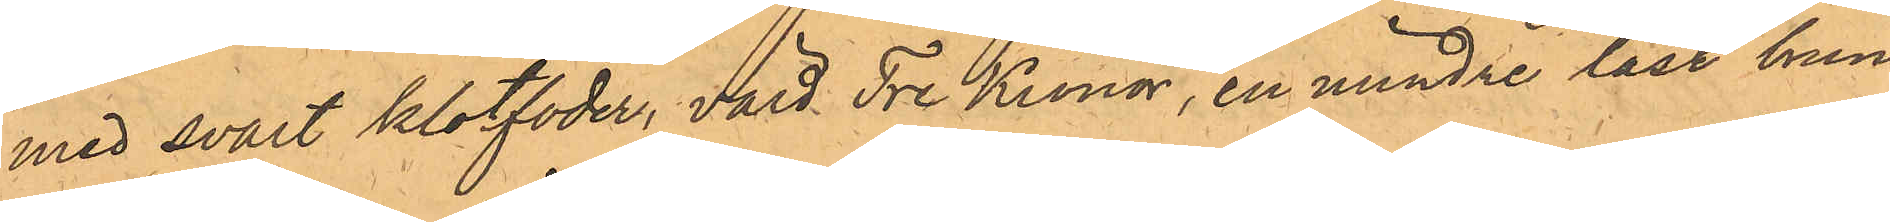med svart klotfoder, värd Tre Kronor, en mindre låst brun
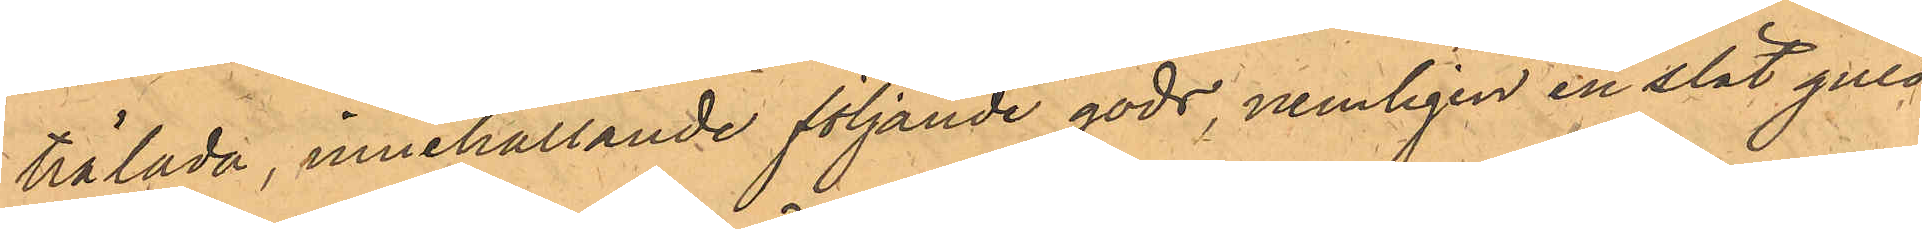trälada, innehållande följande gods, nemligen en slät guld¬
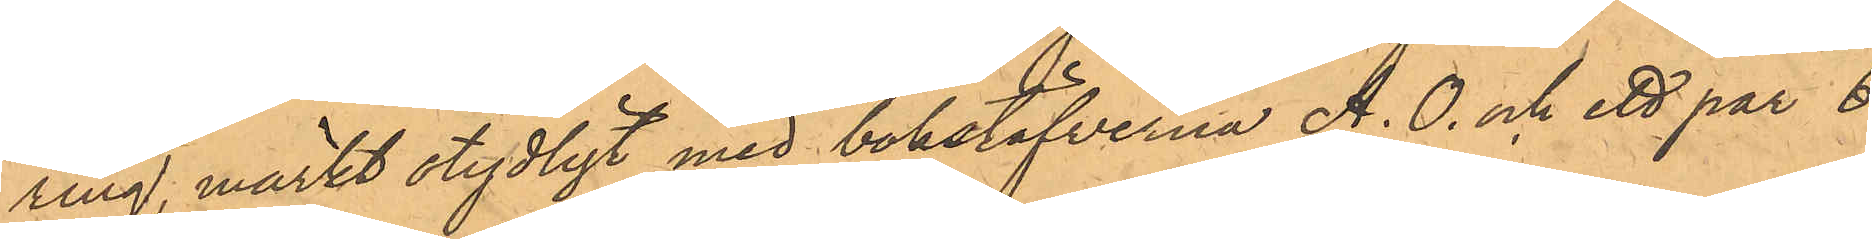ring, märkt stydligt med bokstäfverna A. O. och ett par 6
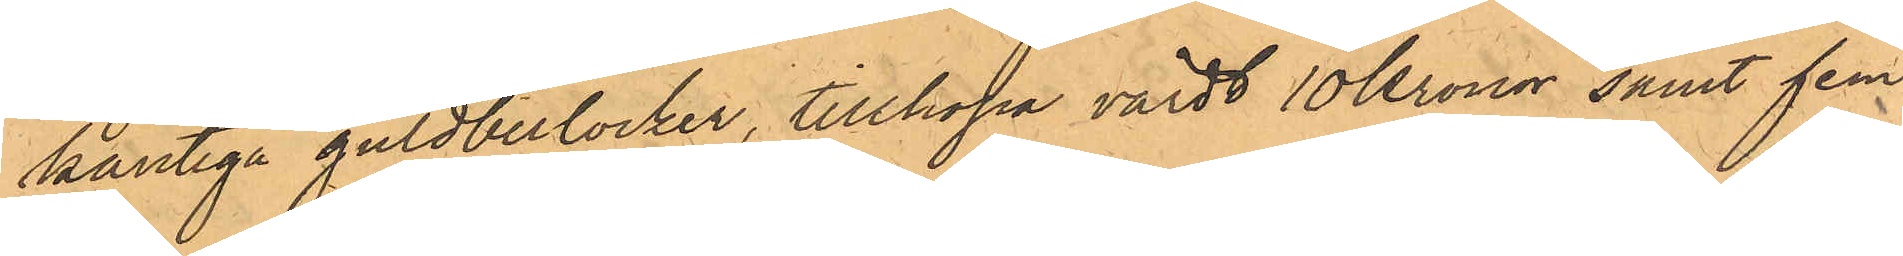kantiga guldberlocker, tillhopa värdt 10 kronor samt fem
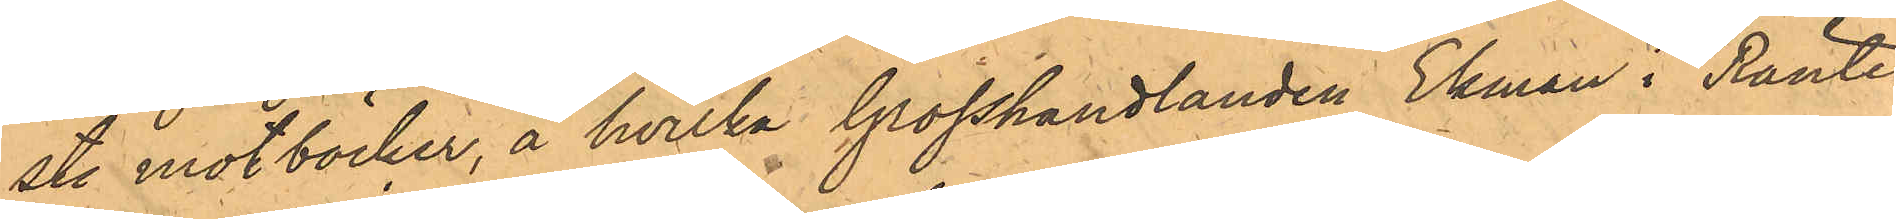st. motböcker, å hvilka Grosshandlanden Ekman i Ränte¬
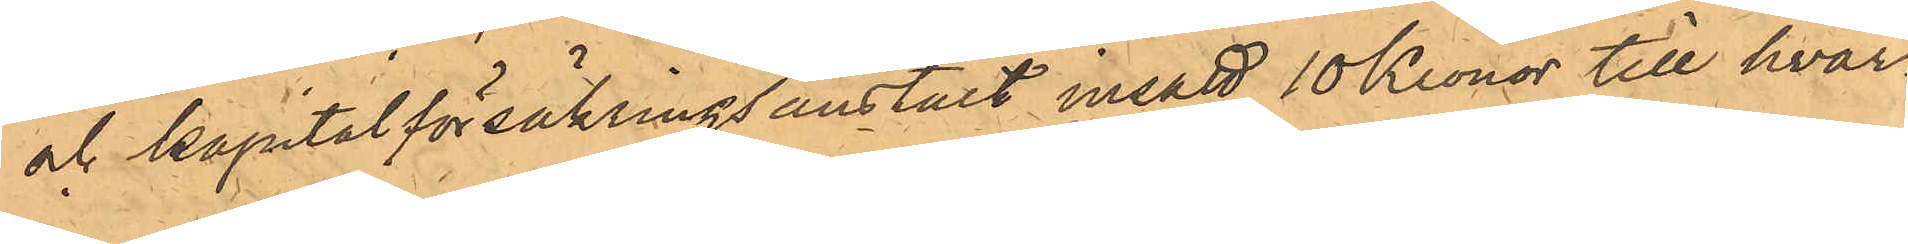och kapitalförsäkringsanstalt insatt 10 Kronor till hvar¬
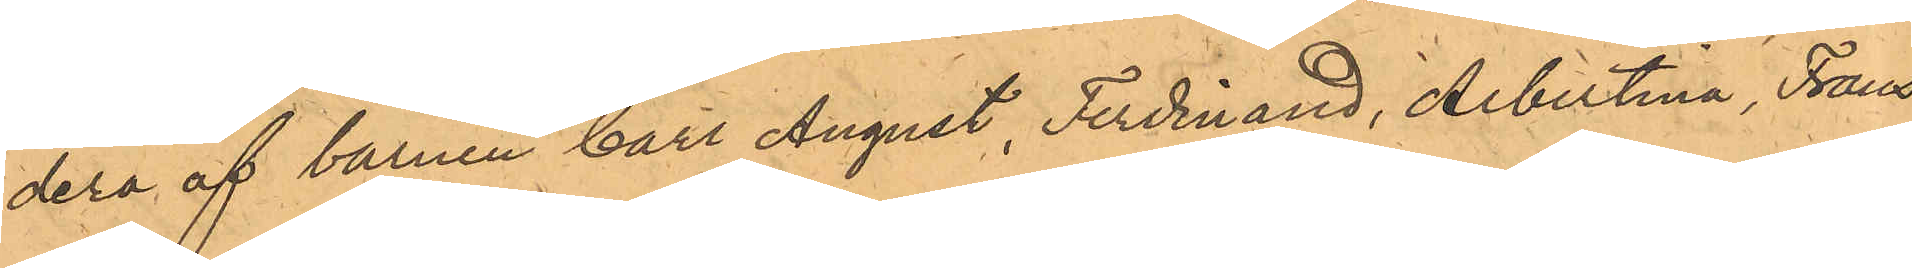dera af barnen Carl August, Ferdinand, Albertina, Frans
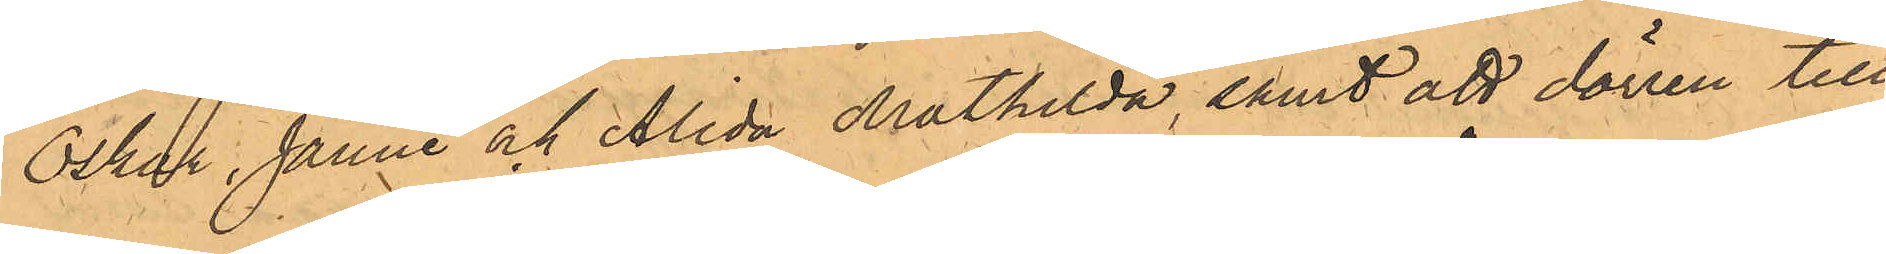Oskar, Janne och Alida Mathilda samt att dörren till
